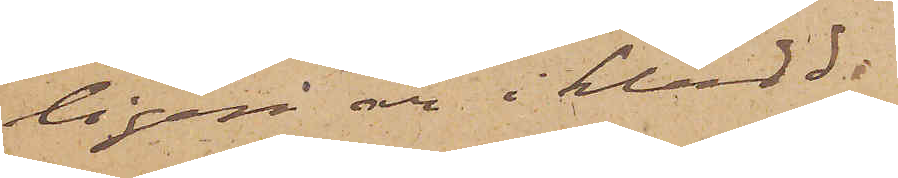ligen är iklädd.
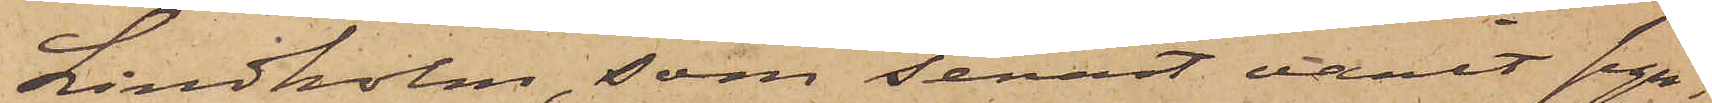Lindholm, som senast varit syn¬
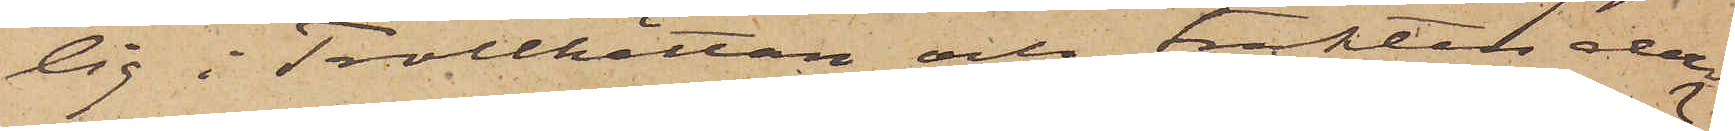lig i Trollhättan och trakten der¬
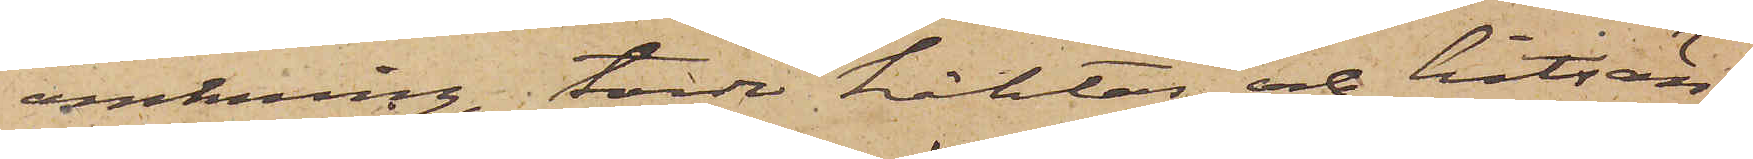omkring, torde häktas och hitsän¬
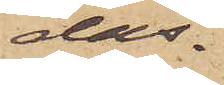das.
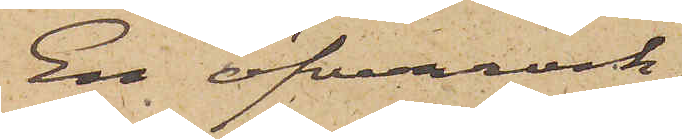En öfverrock
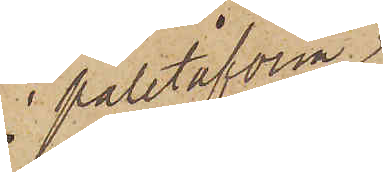i paletåform
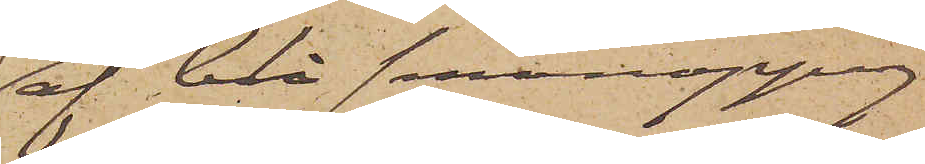af blå smånoppig
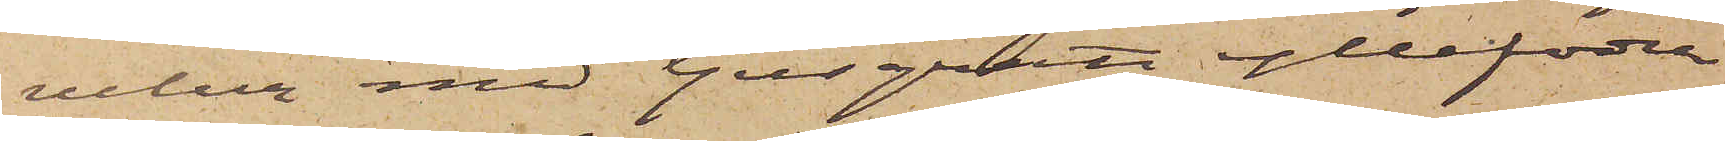velur med ljusgrått yllefoder
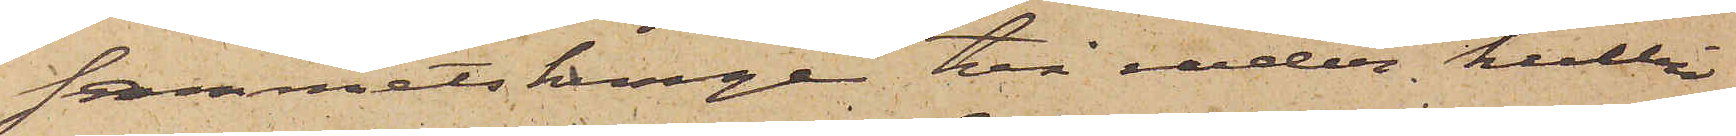sammetskrage två rader kullri¬
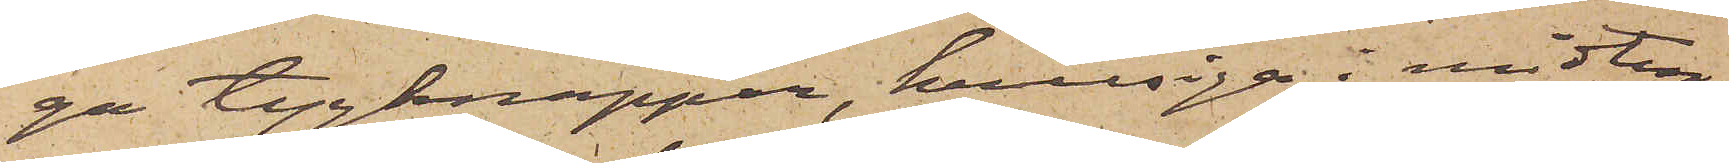ga tygknappar, kullriga i midten
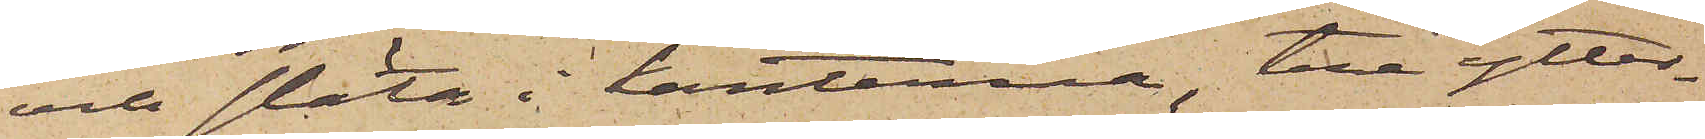och släta i kanterna, två ytter¬
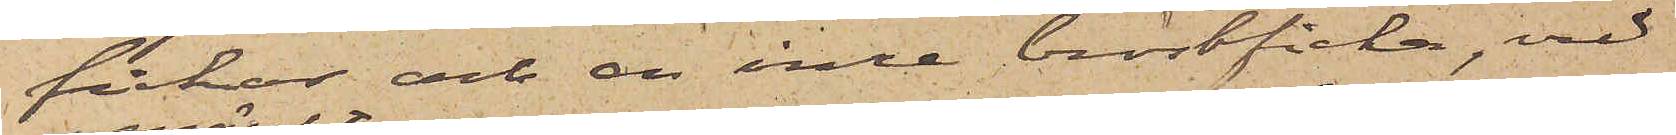fickor och en inre bröstficka, vid
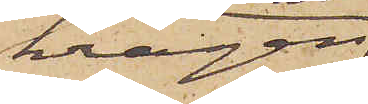kragen
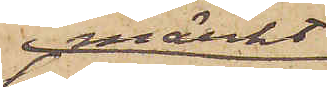märkt
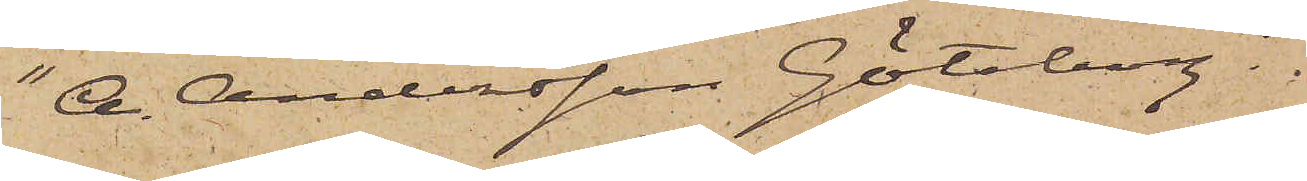"A. Andersson Göteborg".
